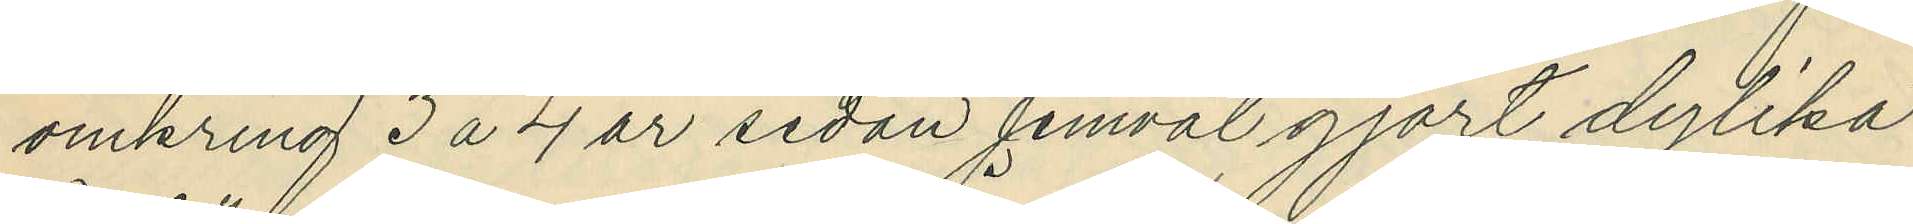omkring 3 a 4 år sedan jemväl gjort dylika
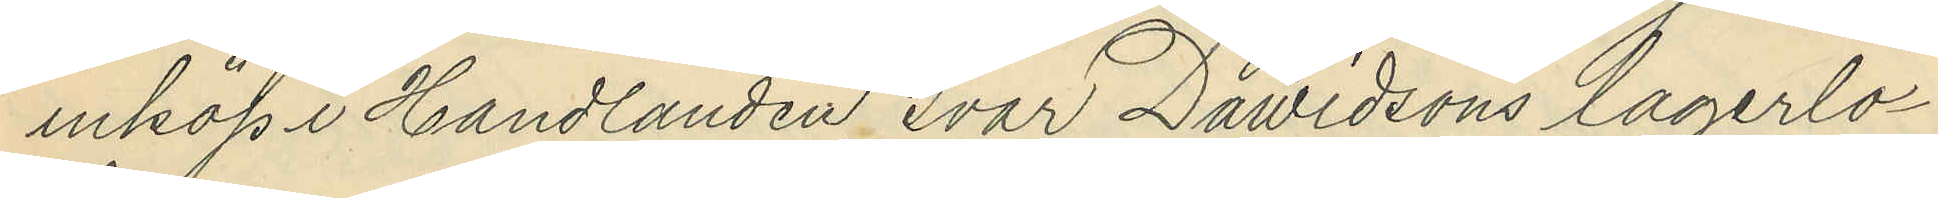inköp i Handlanden Ivar Dawidsons lagerlo¬
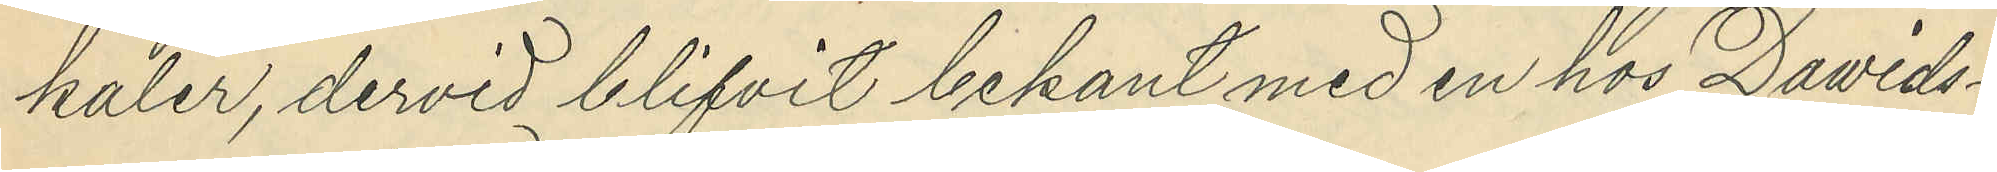kaler, dervid blifvit bekant med en hos Davids¬
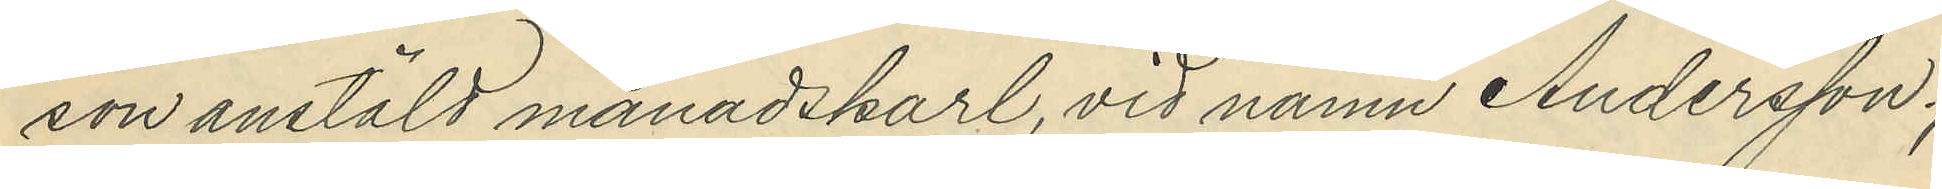son anstäld månadskarl, vid namn Andersson.
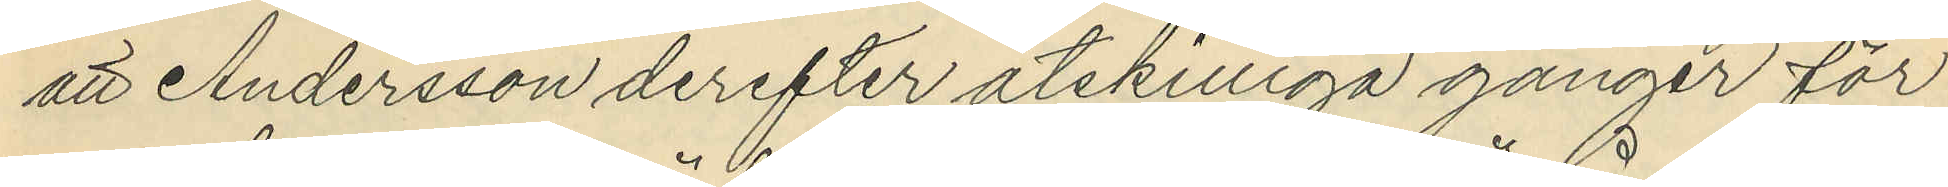att Andersson derefter åtskilliga gånger för
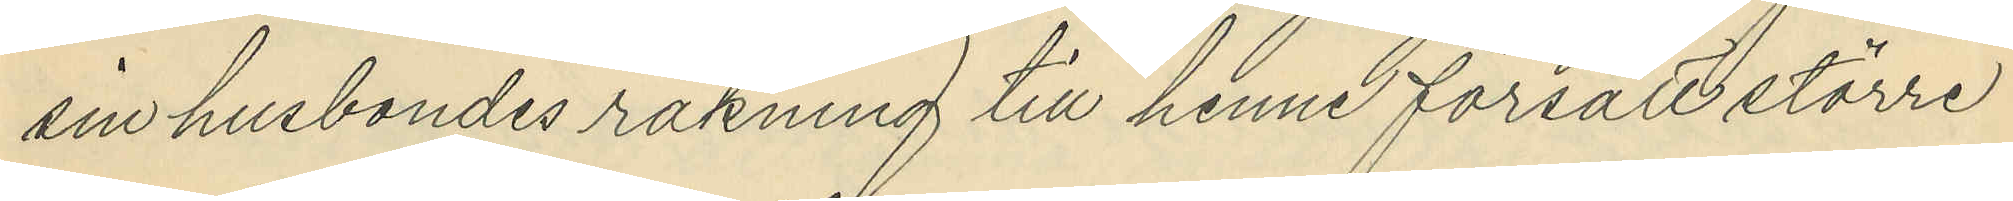sin husbondes räkning till henne försålt större
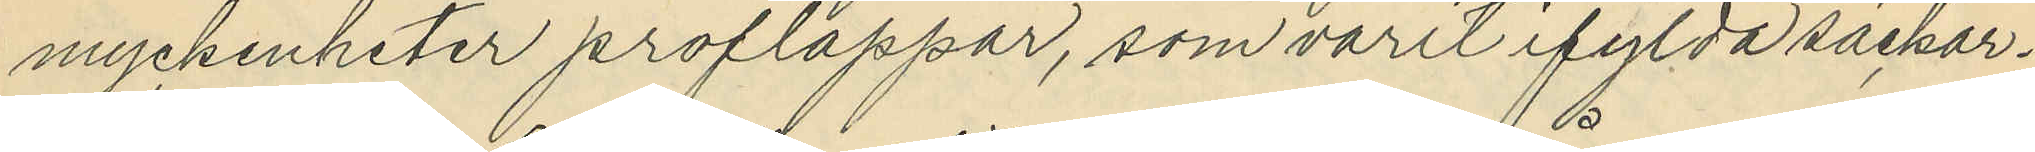myckenheter proflappar, som varit ifylda säckar,
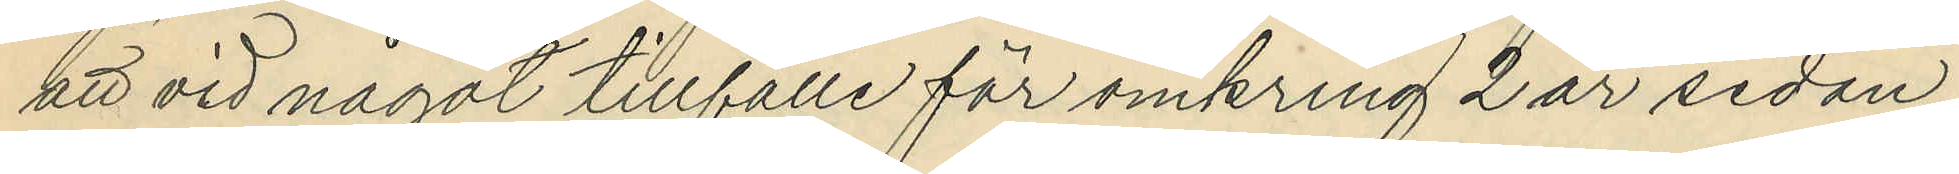att vid något tillfälle för omkring 2 år sedan,
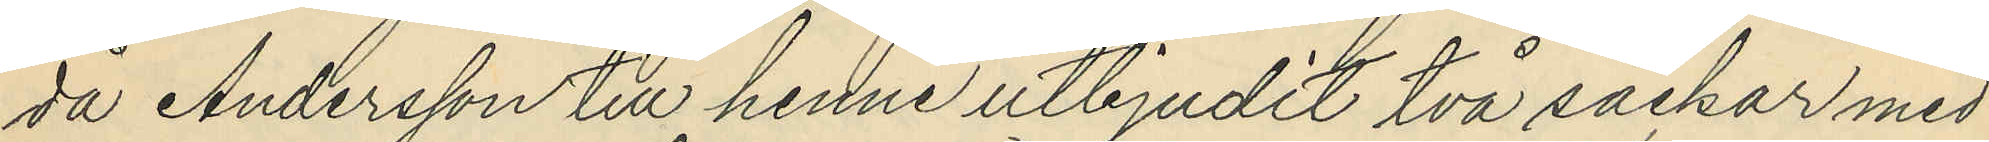då Andersson till henne utbjudit två säckar med
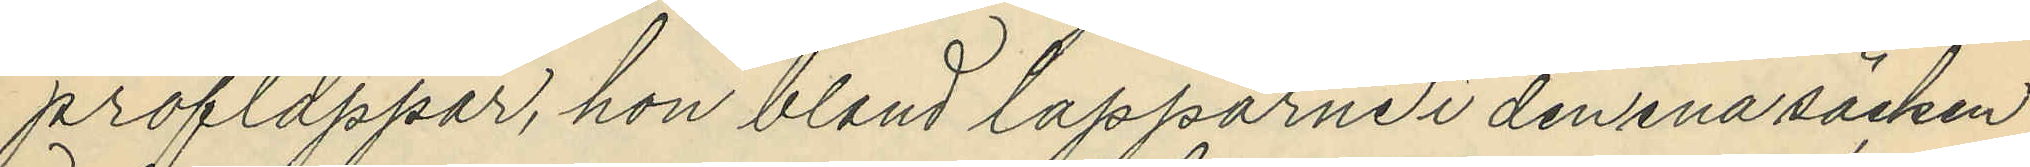proflappar, hon bland lapparne i den ena säcken
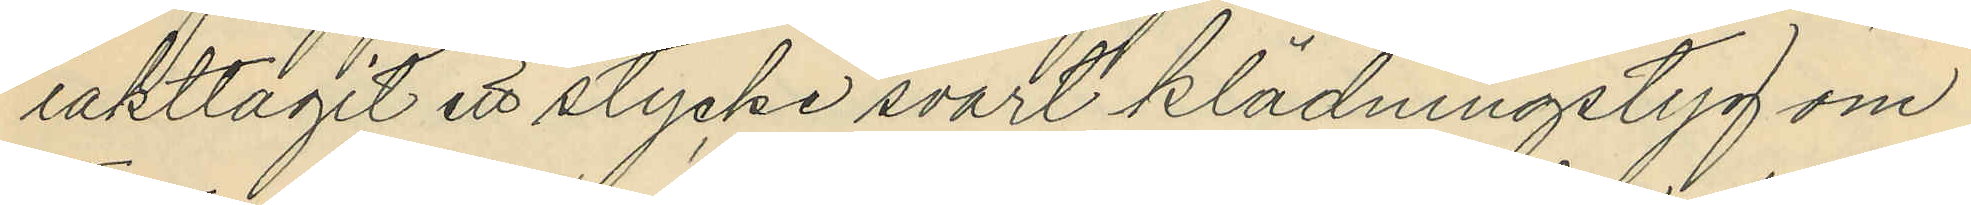iakttagit ett stycke svart klädningstyg om
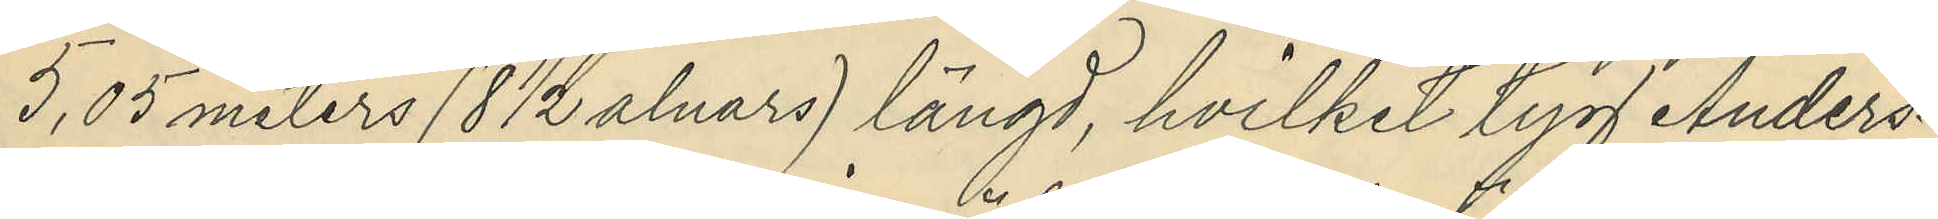5,05 meters (8 1/2 alnars) längd, hvilket tyg Anders¬
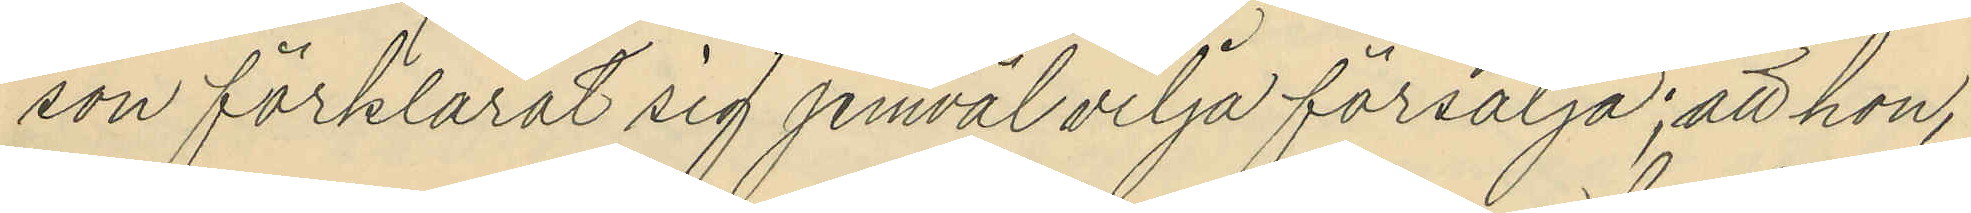son förklarat sig jemväl vilja försälja; att hon,
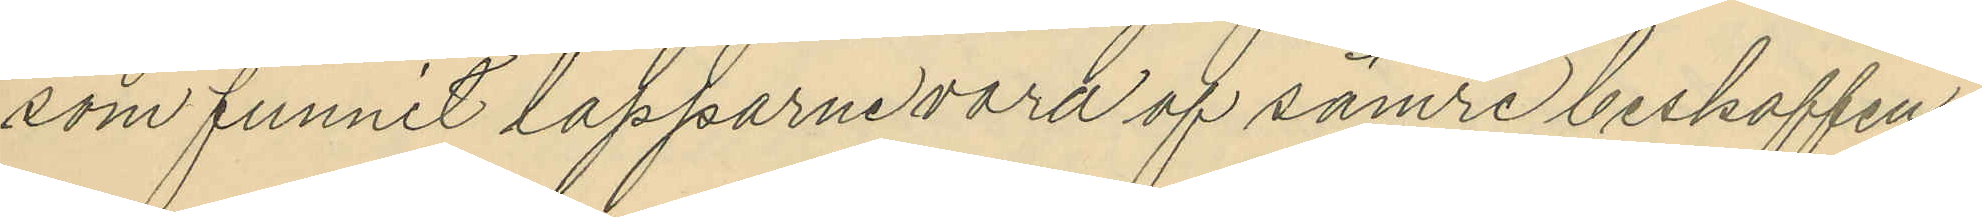som funnit lapparne vara af sämre beskaffen¬
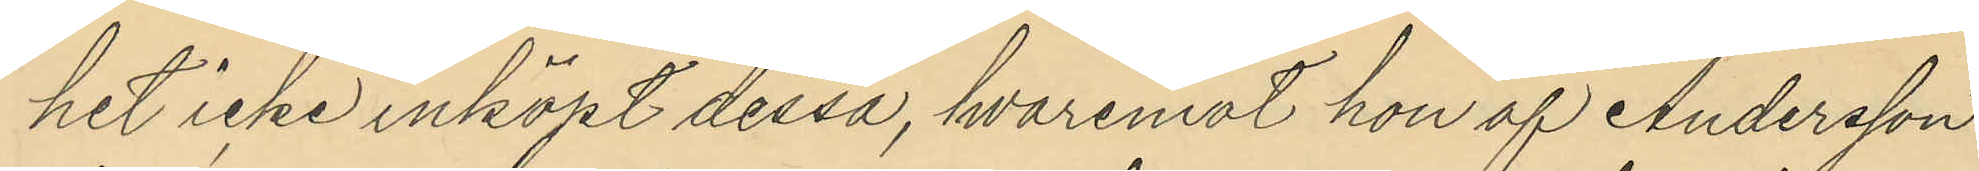het icke inköpt dessa, hvaremot hon af Andersson
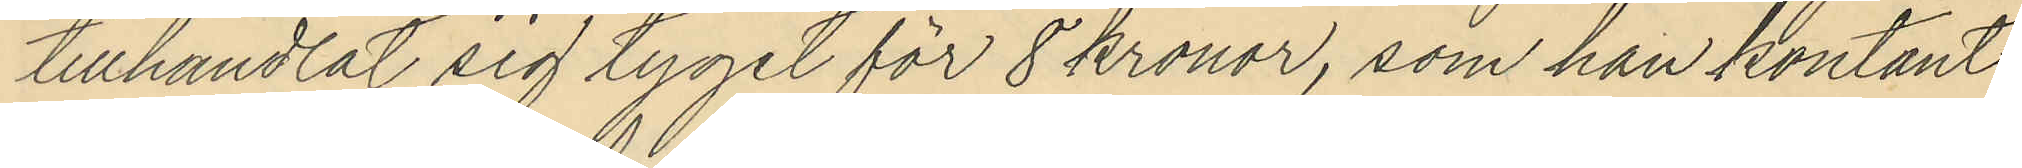tillhandlat sig tyget för 8 kronor, som han kontant
